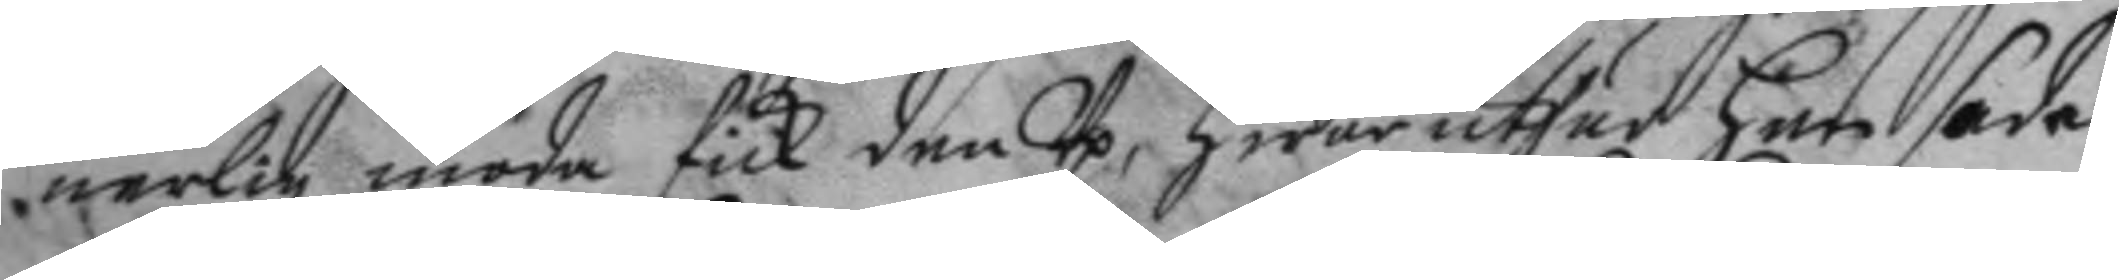nerligen möda fick den Up, hwar uthur han sade
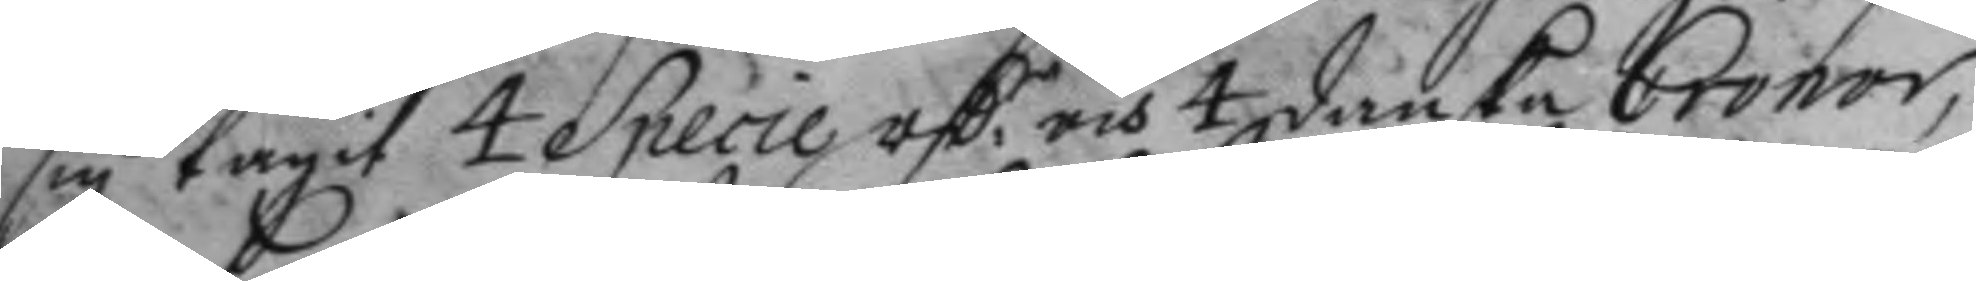sig tagit 4 Specie rSr, och 4 danska Cronor,
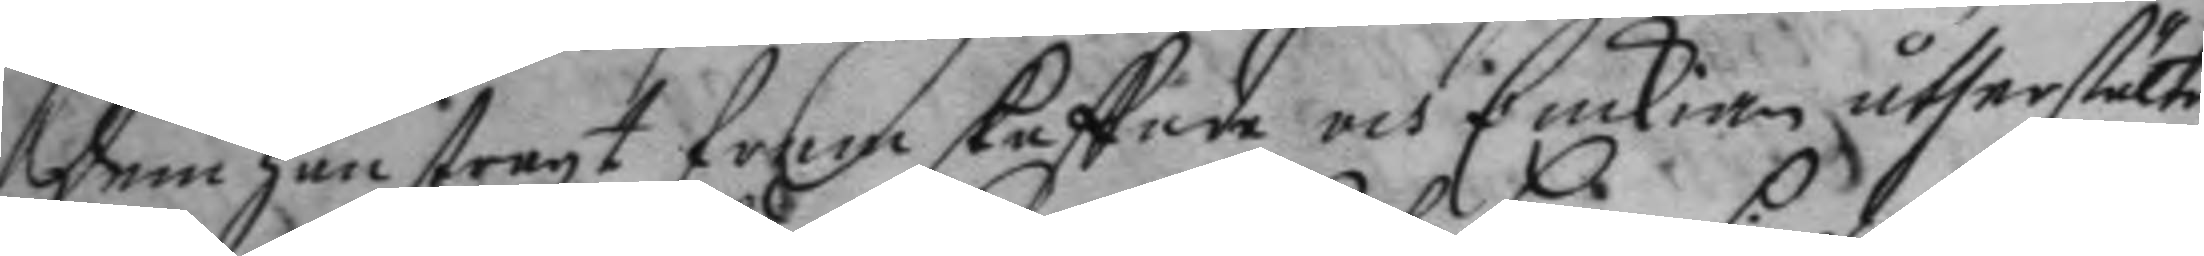dem han straxt fram skaffade och Enckian återstälte,
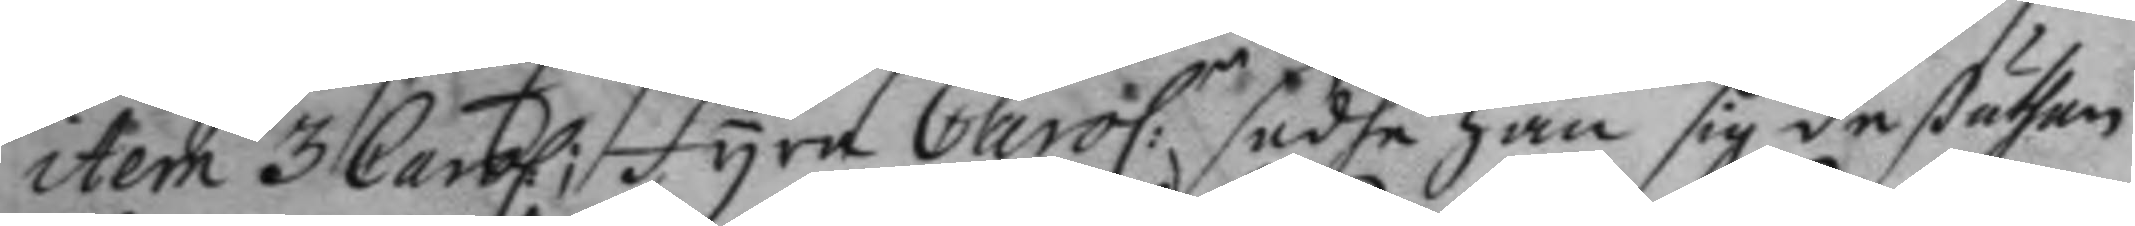item 3 Carol; fyra Carol:r sade han sig deßutan
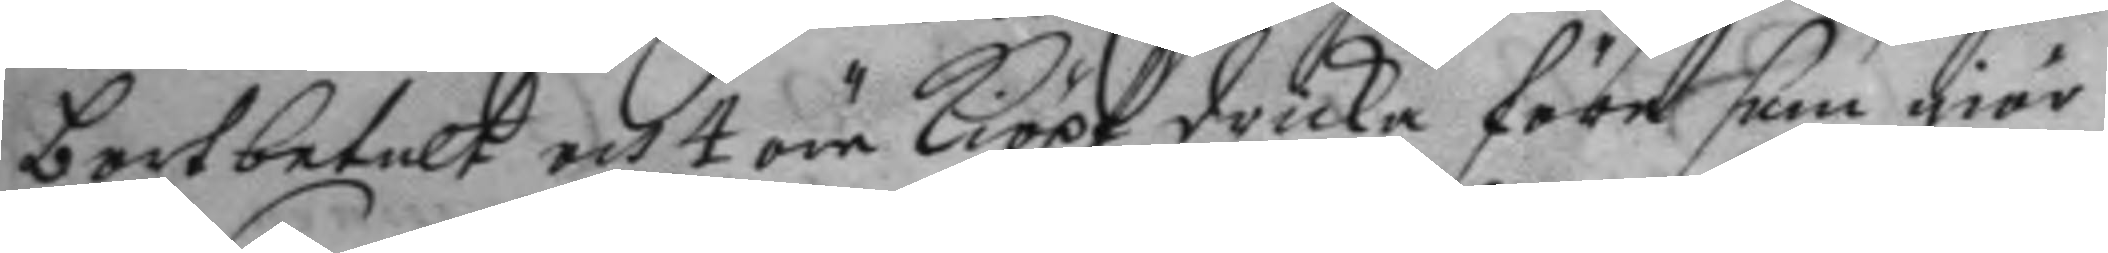bortbetalt och 4 öre kiöpt dricka före som giör
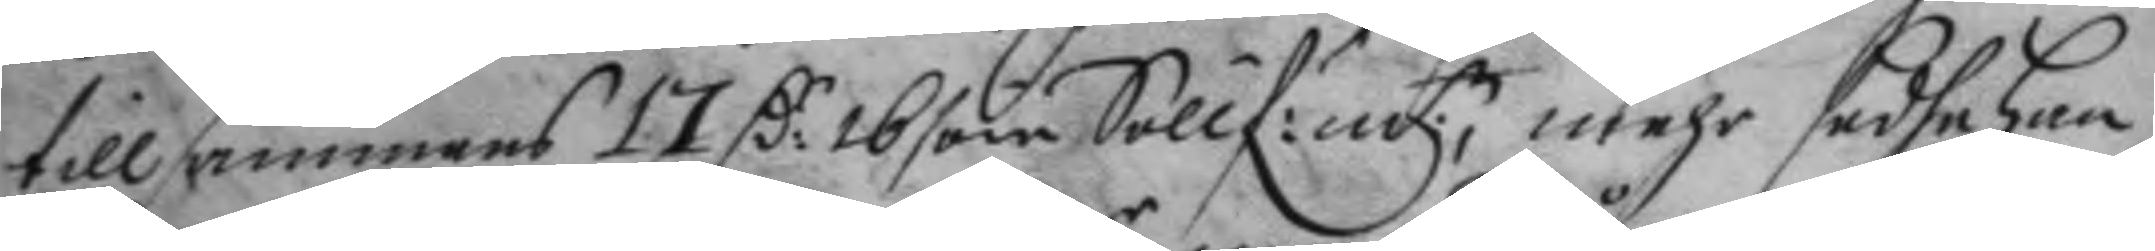tillsammans 17 C:r 16 öre Söllf:m:t mehr sadhe han
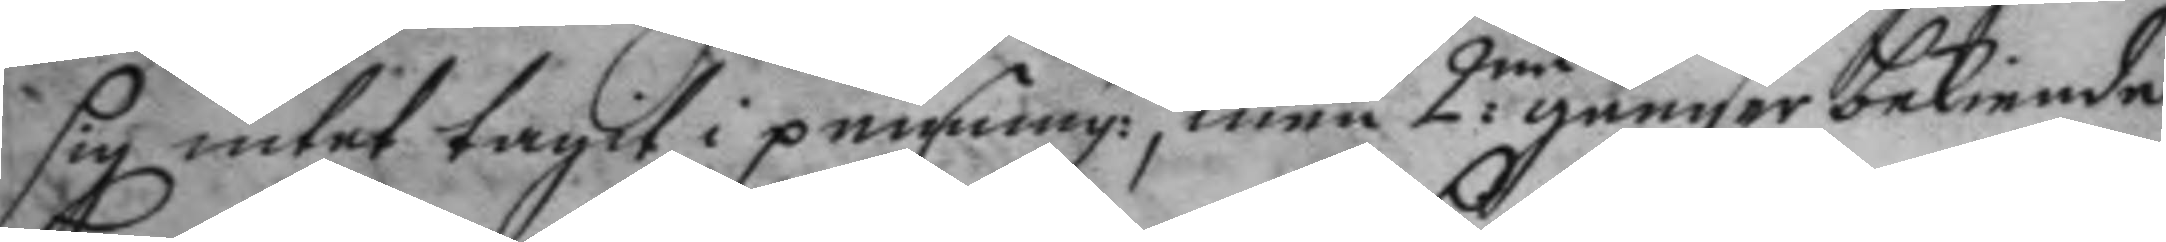sig intet tagit i penning:r, men 2:ne gånger bekiende
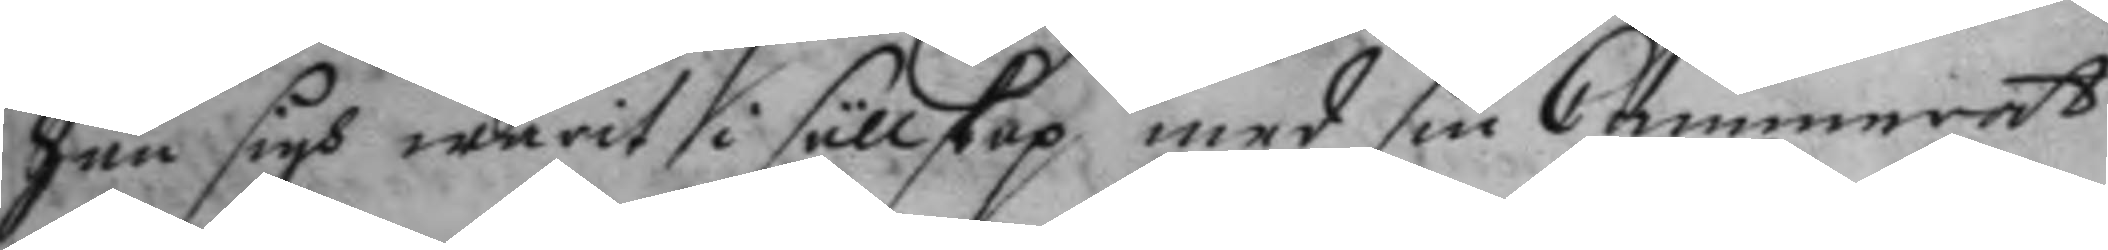han sigh warit i sällskap med sin Cammerat
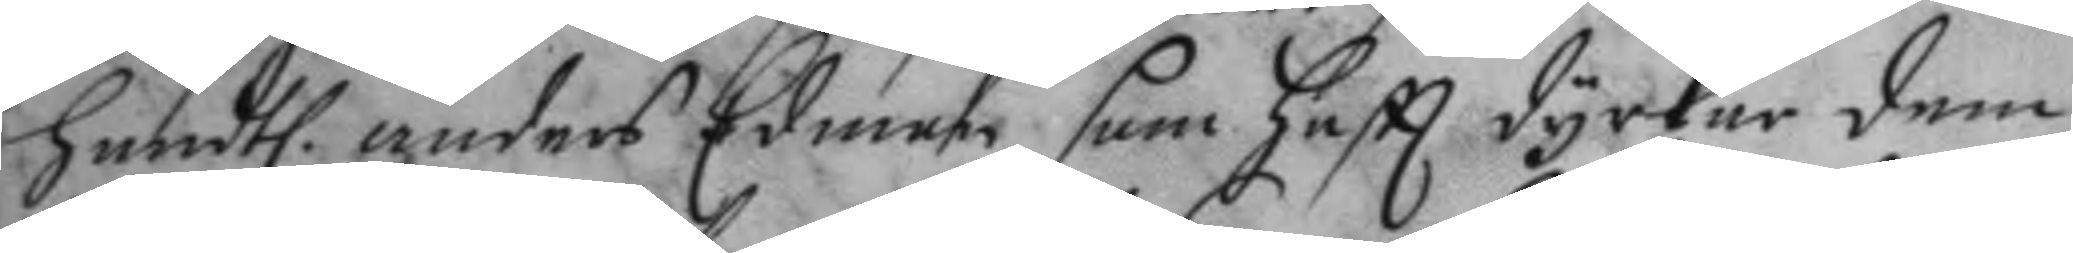handtl. anders Edman som haftt dyrkar dem
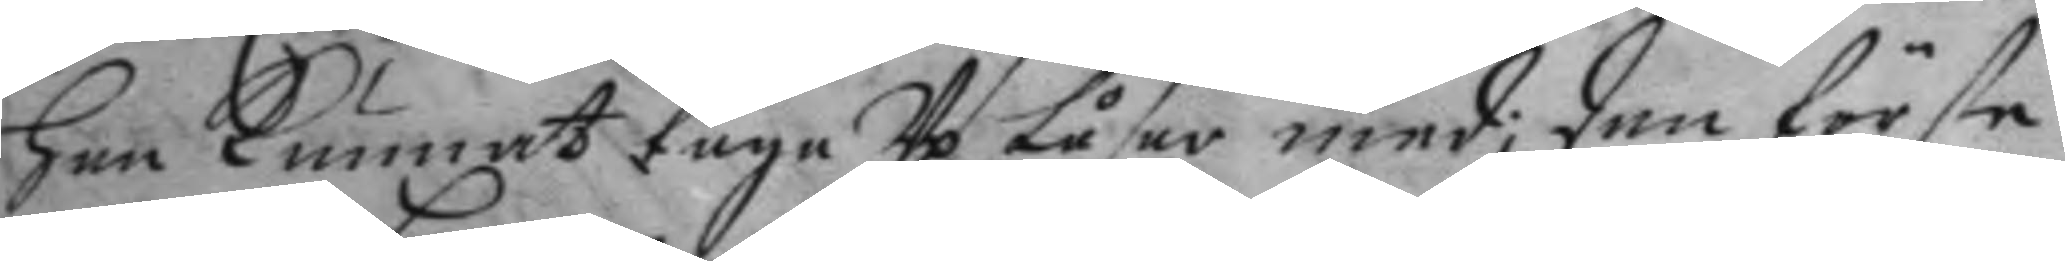han kunnat taga Up Låsen med; den förste
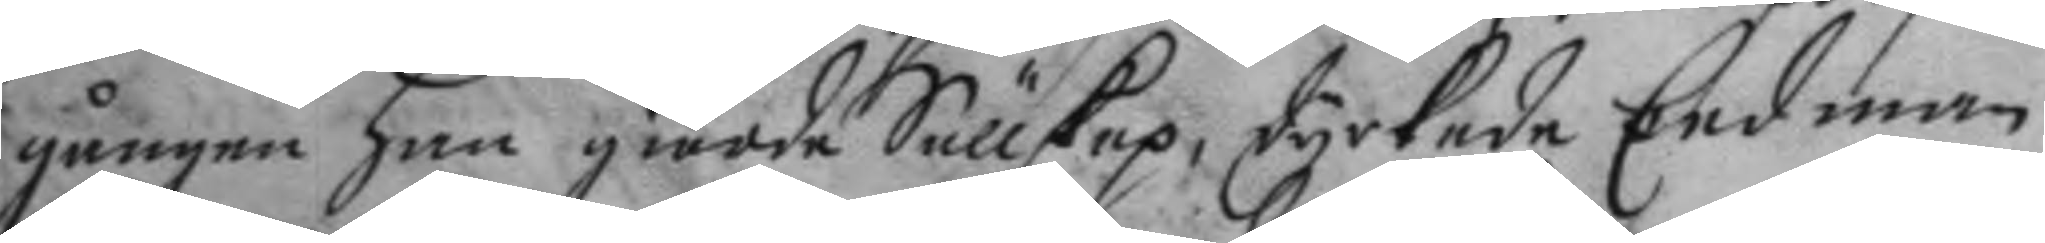gången han giorde Sällskap, dyrkade Eedman
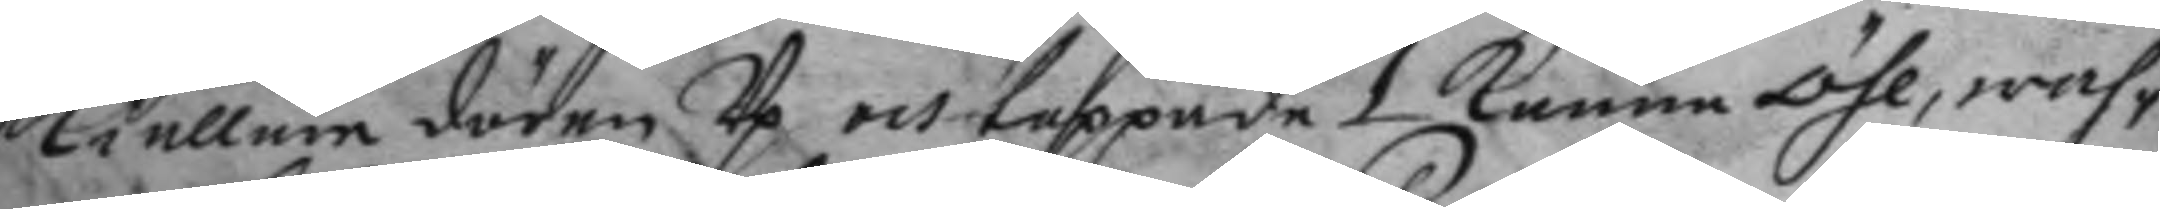kiällere dören Up och tappade 1 kanna öhl, wah¬
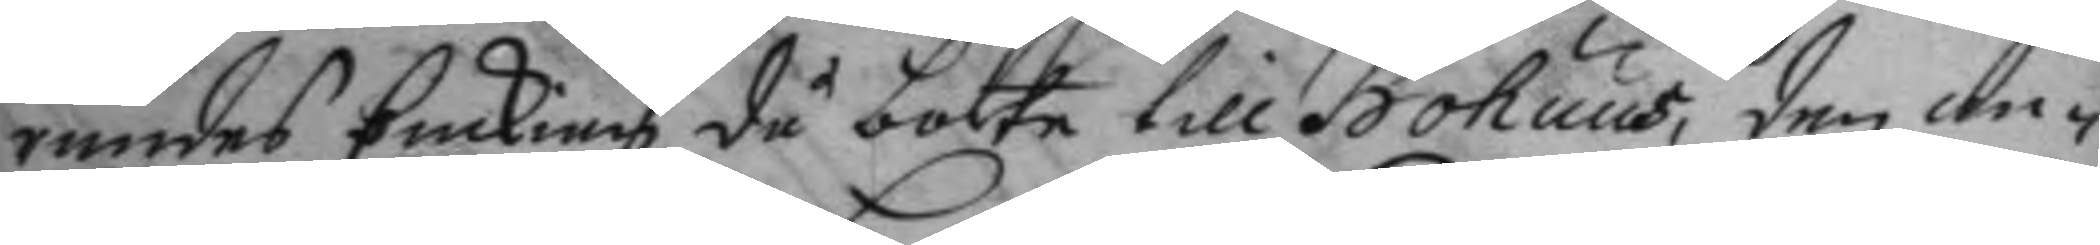randes Enckian då borta till Bohuus, den an¬
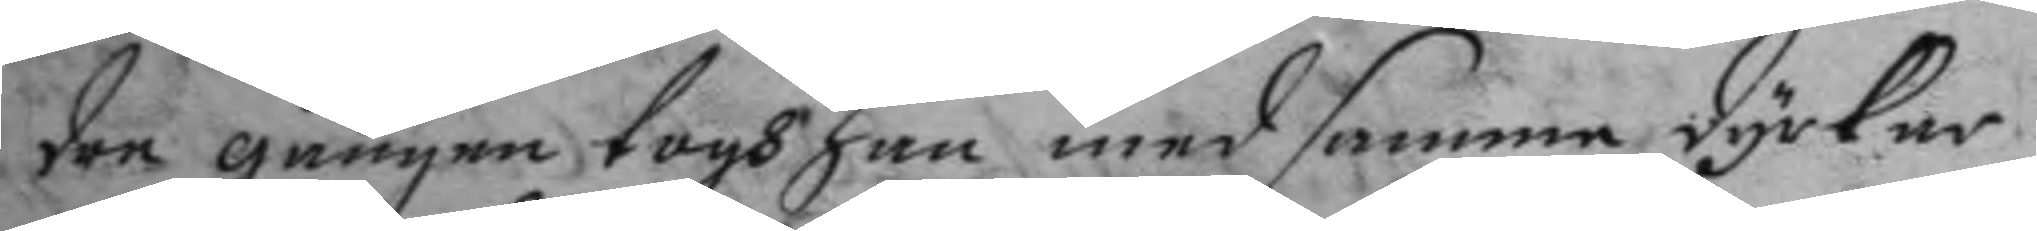dre gången togh han med samma dyrkar
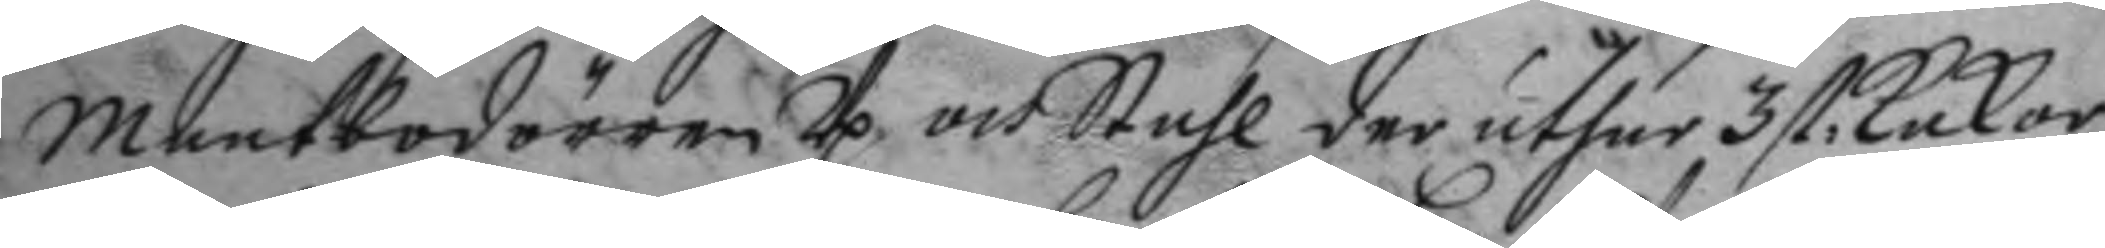maatbodörren Up och Stahl der uthur 3 st kakor
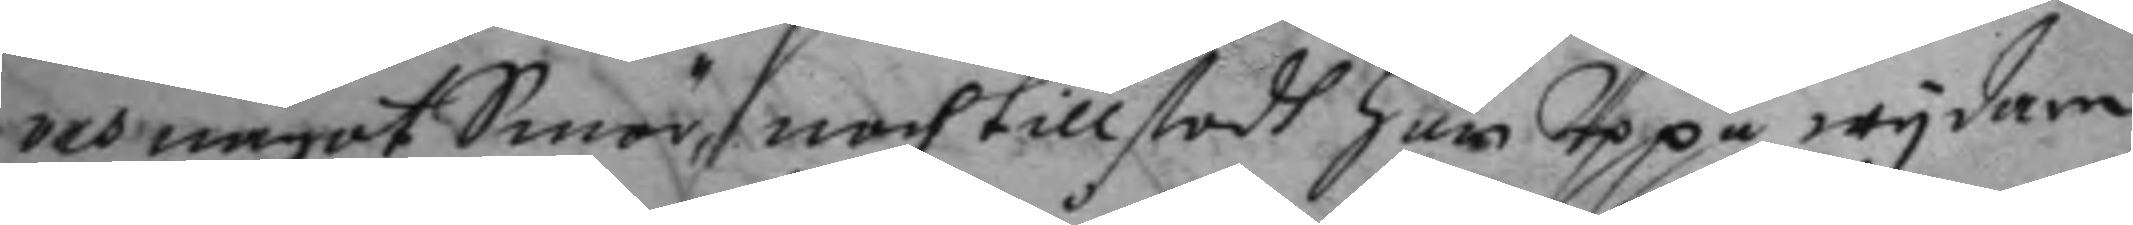och något Smör, noch tillstod han Uppå wydare
